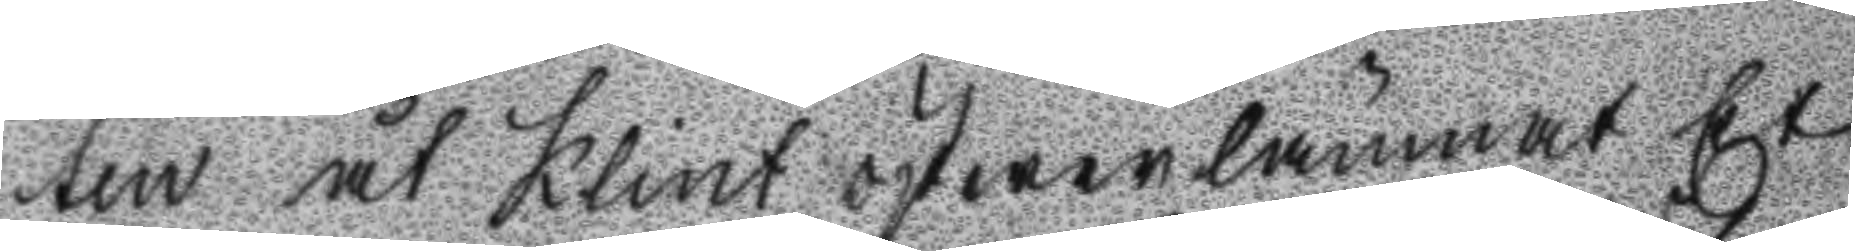ten åt Klint öfwerlämnat Et
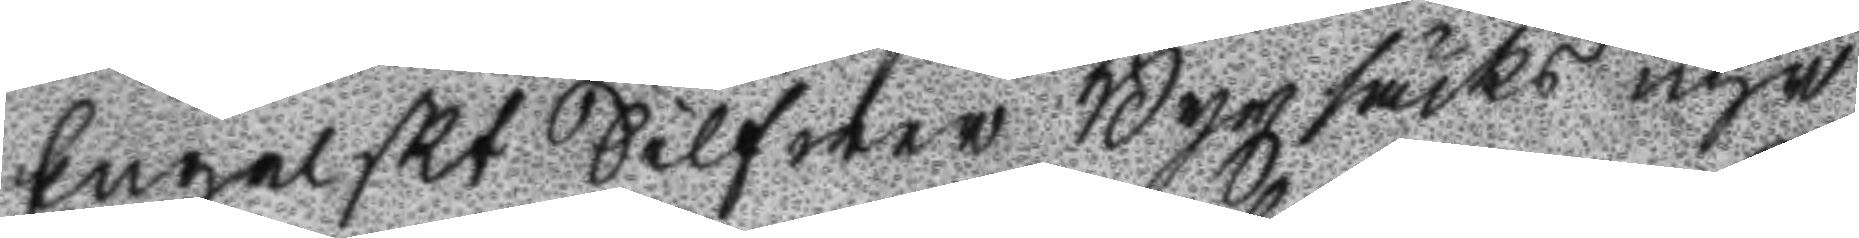Engelskt Silfwer Byxsäcks uhr
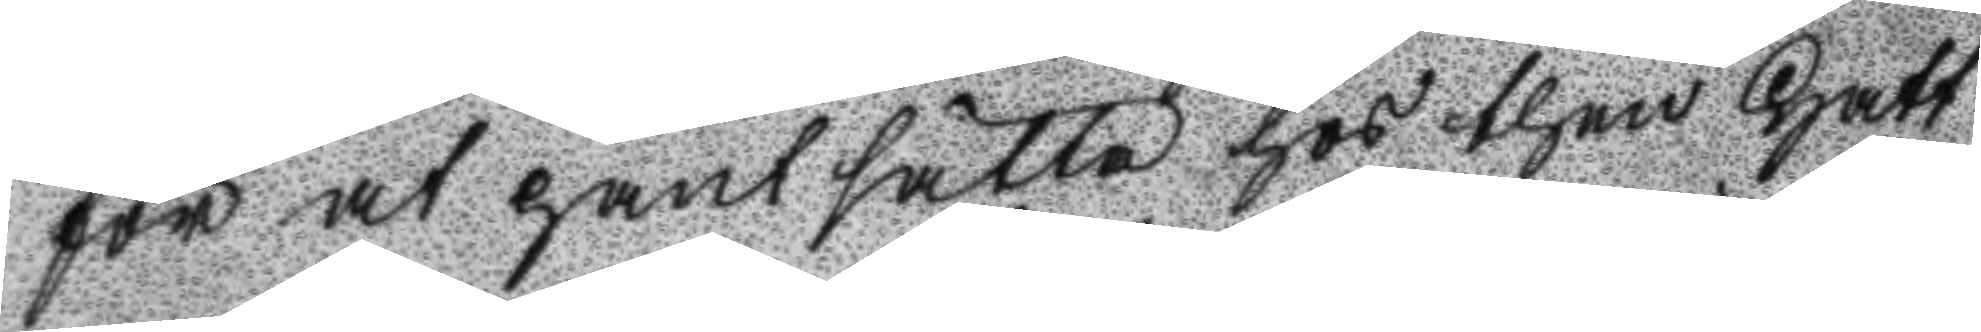för at pantsätta hos then Hatt
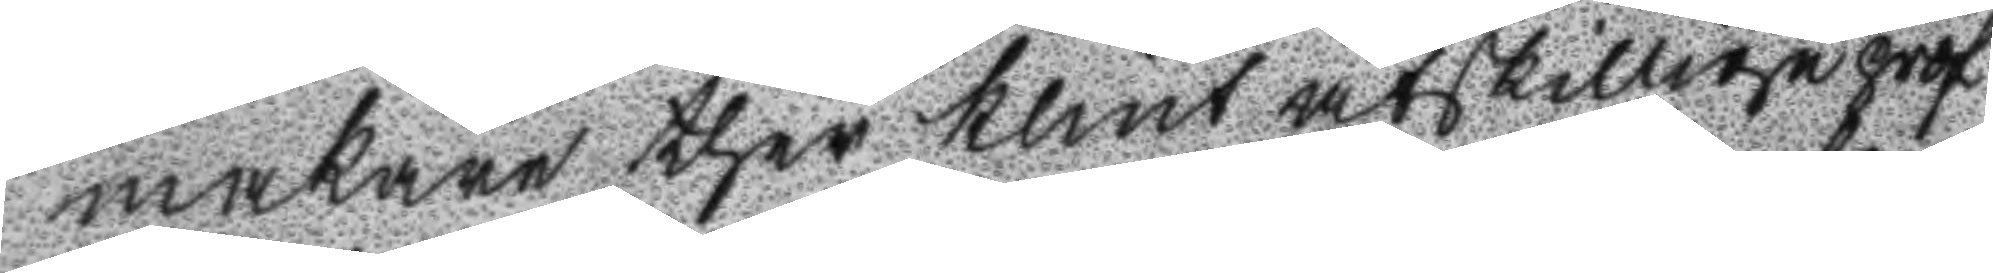makaren ther Klint åtskillige prof
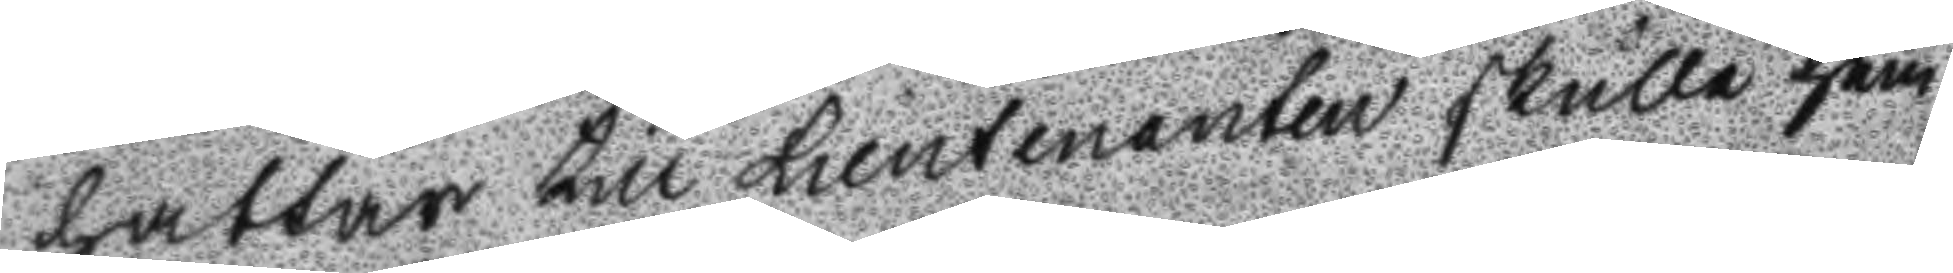hattar till Lieutenanten skulle hem
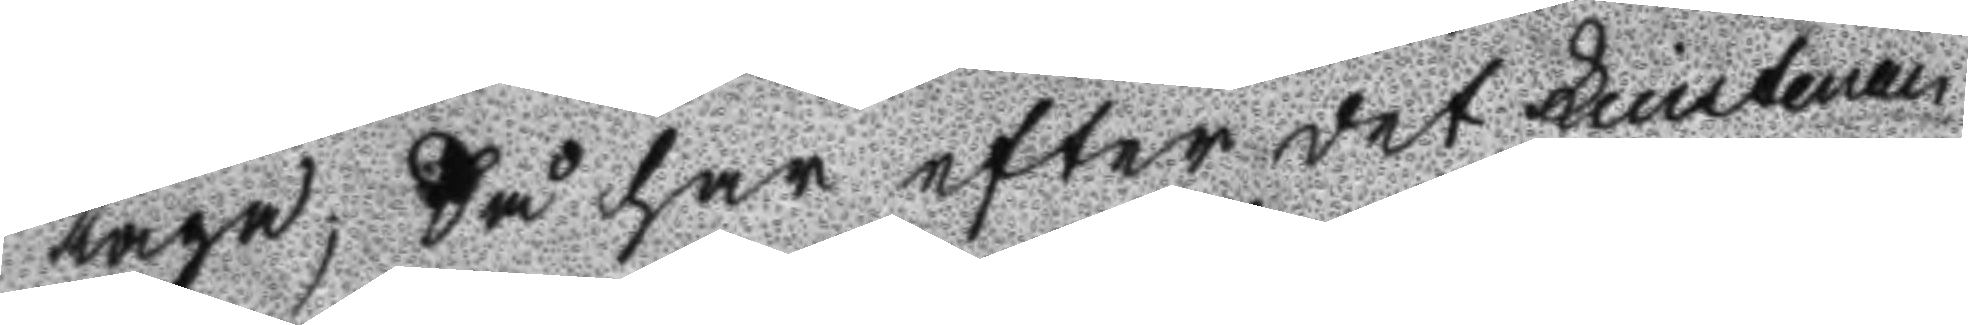taga; Så har efter det Lieutenan
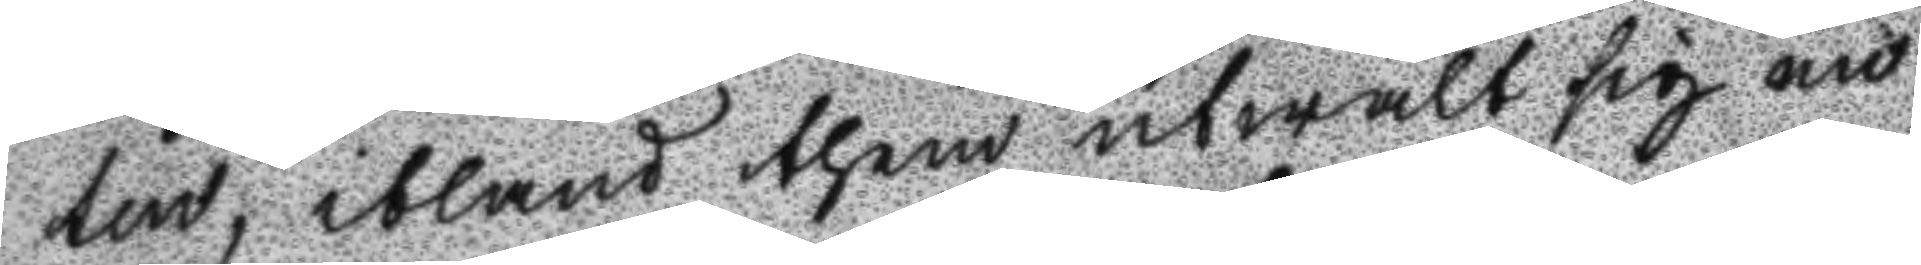ten, ibland them utwalt en
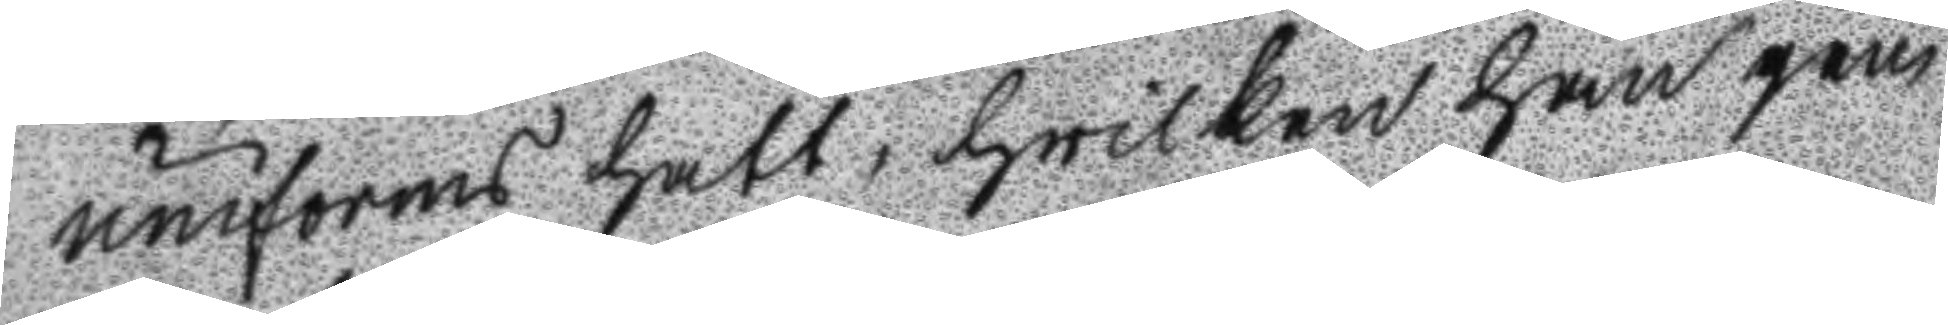uniforms hatt, hwilken han jem
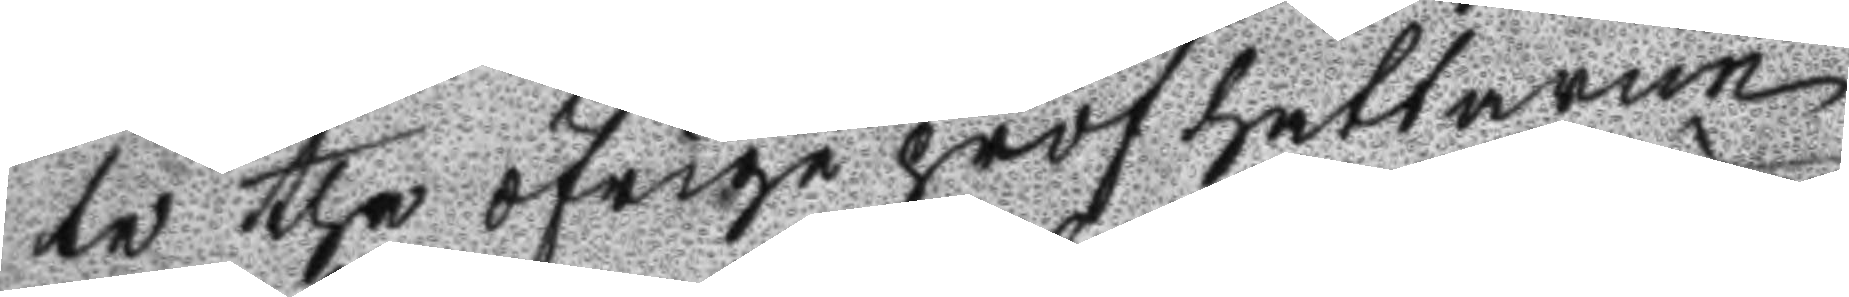te the öfrige profhattarne
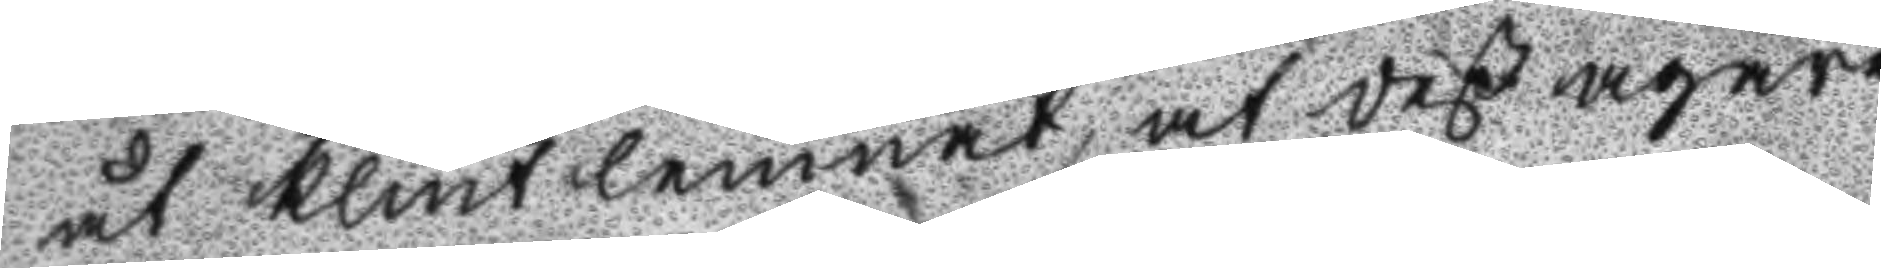åt Klint lemnat, at deß ägare
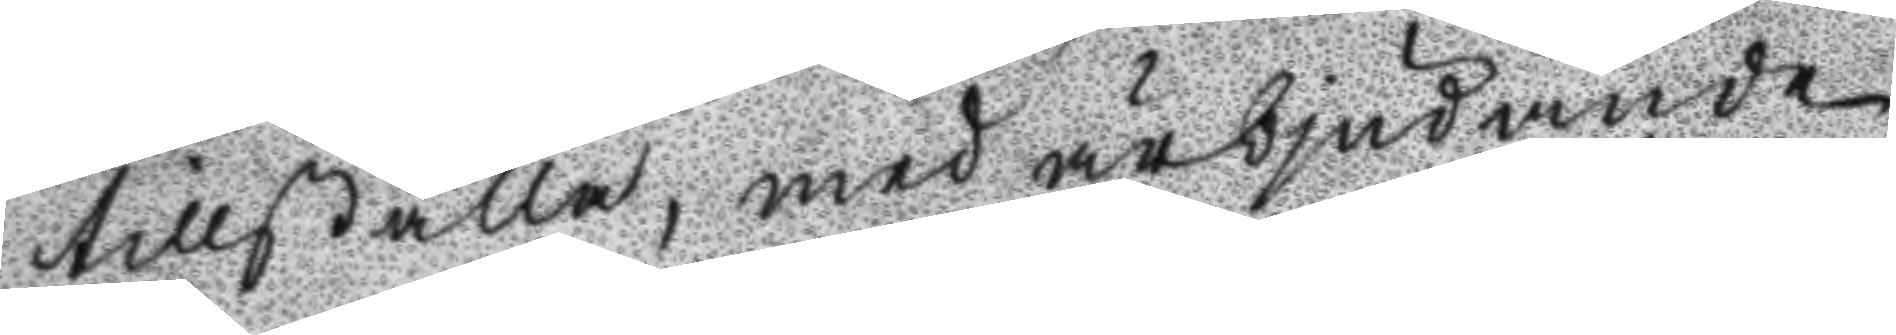tillställa, med ärbjudande
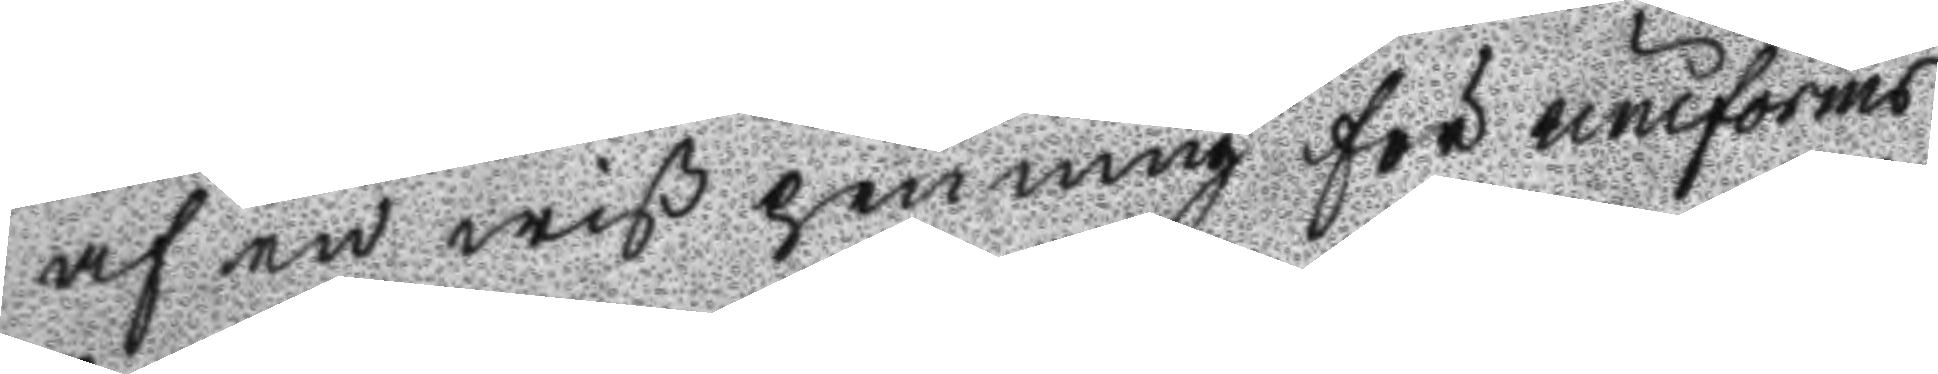af en wiß penning för uniforms
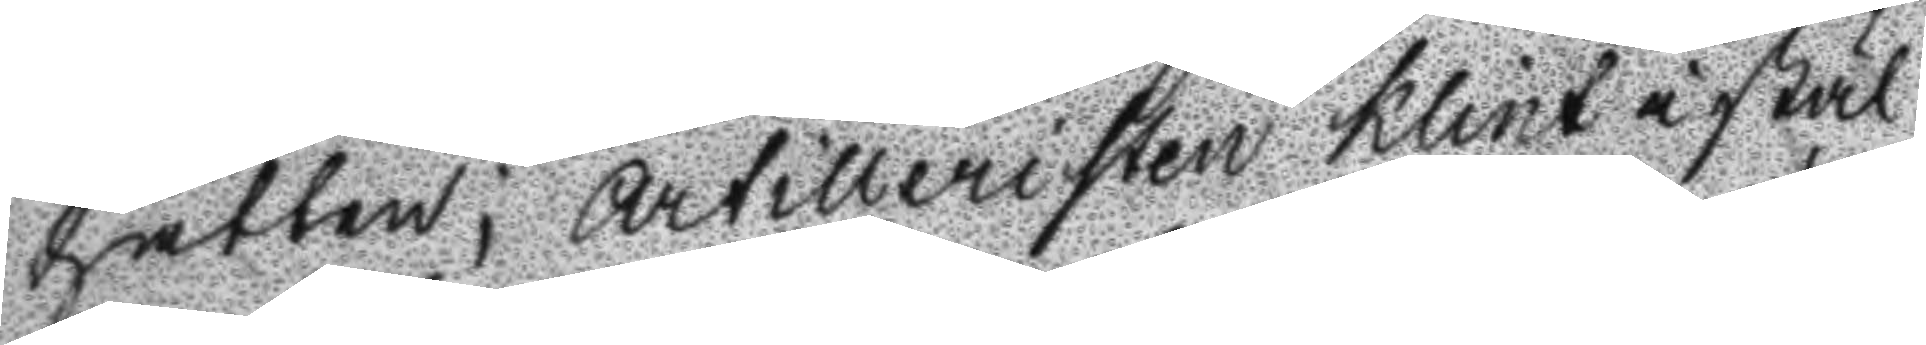hatten; Artilleristen Klint i stäl
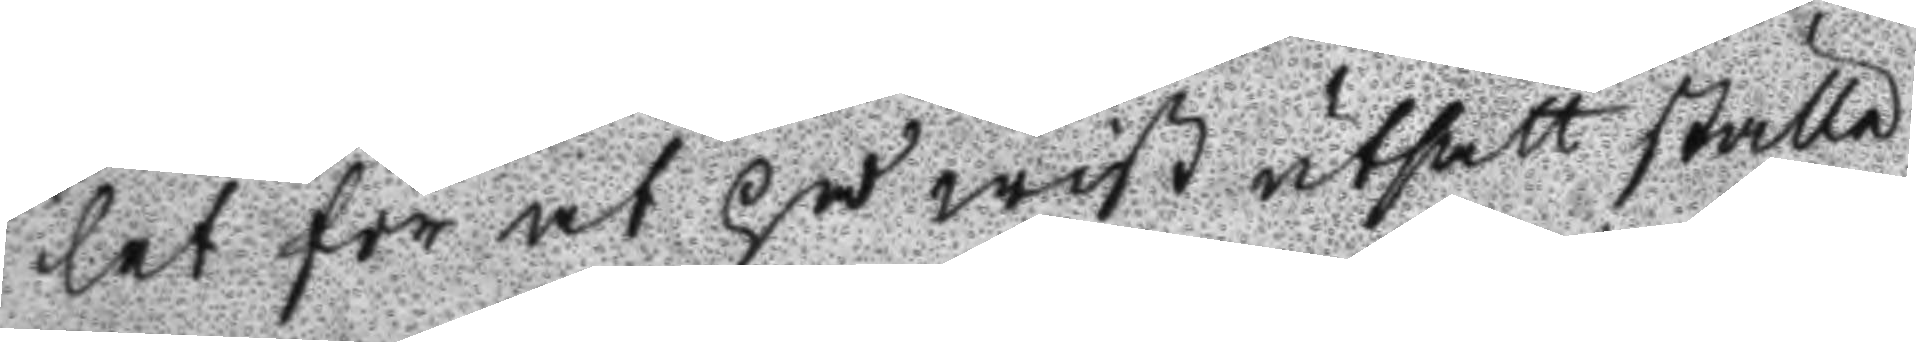let för at på wiß utsatt ställe
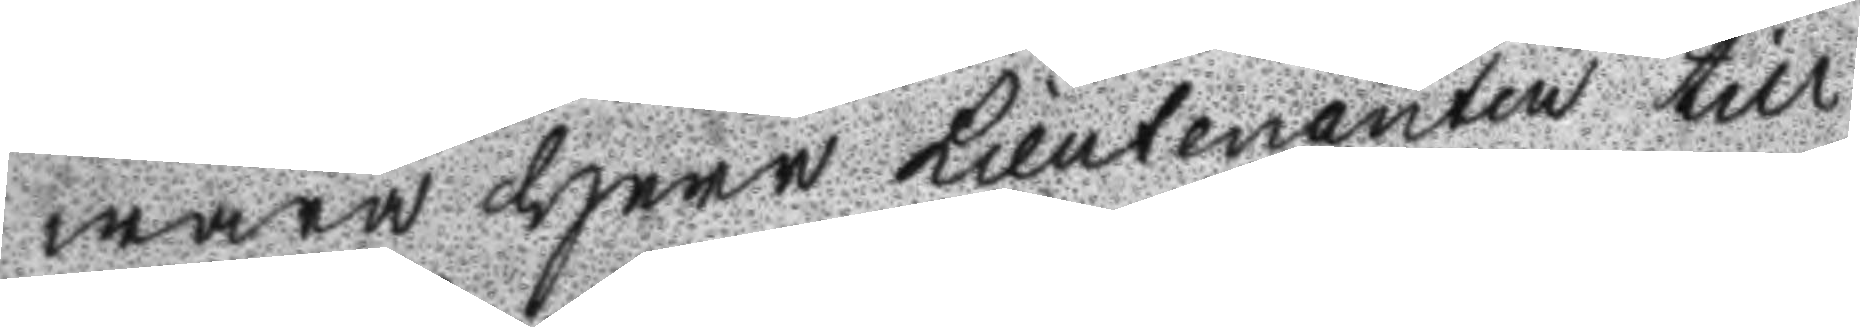wara Herr Lieutenanten till
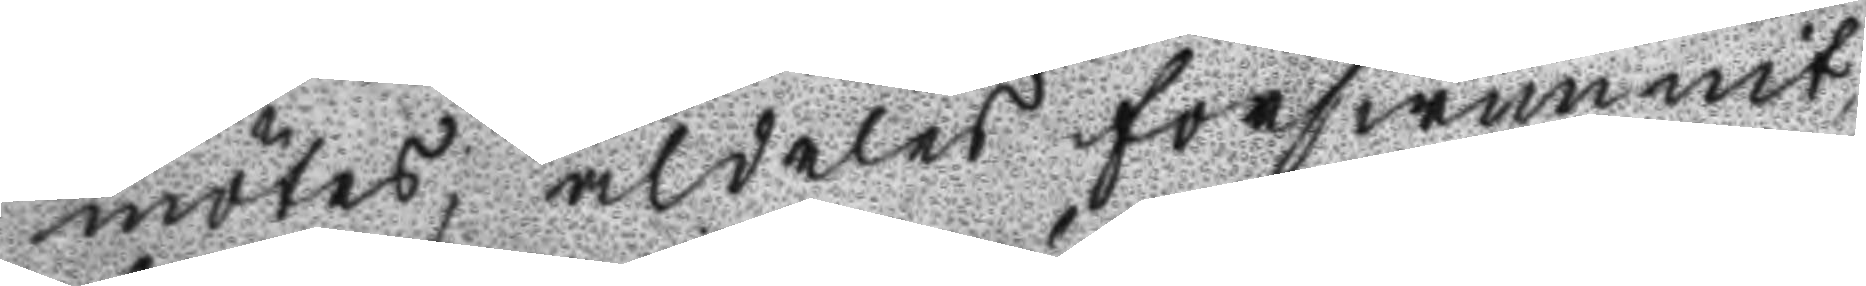mötes, aldeles förswunnit
